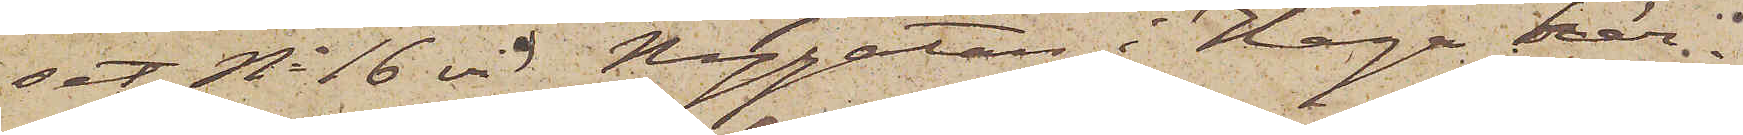set No 16 vid Nygatan i Haga här¬
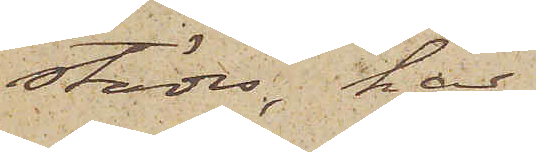städes, har
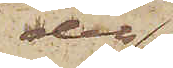dels
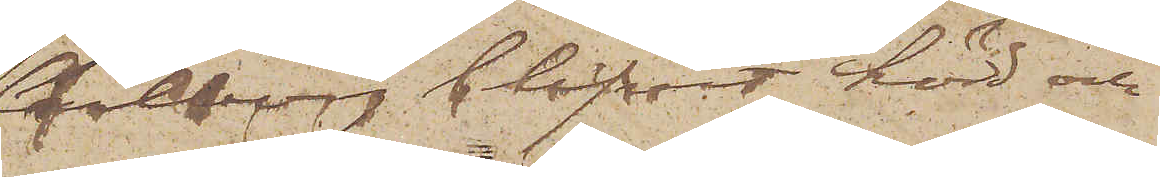Carlborg blifvit hörd och
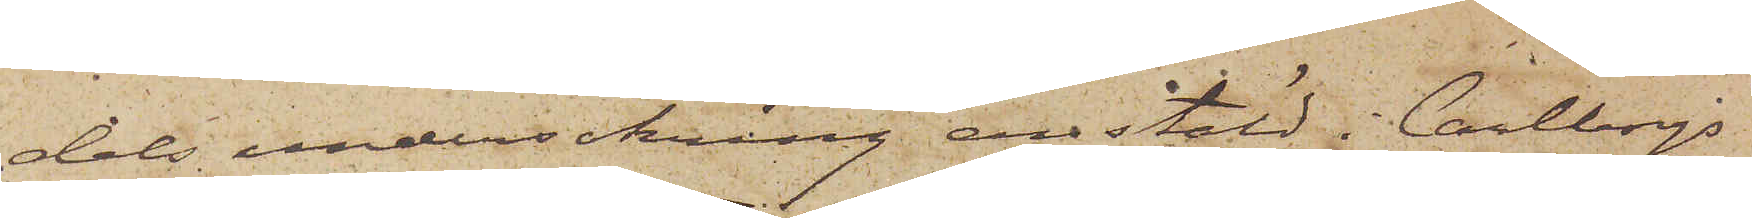dels undersökning anstäld i Carlborgs
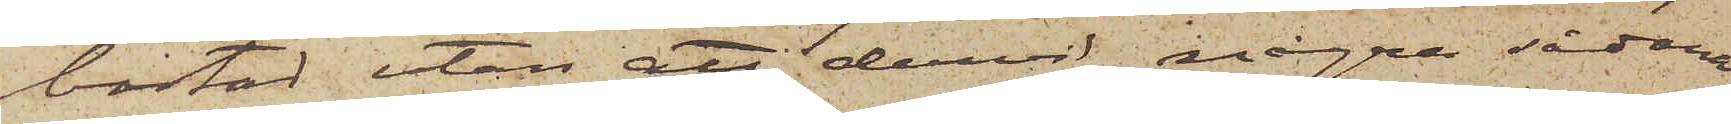bostad utan att dervid några sådana
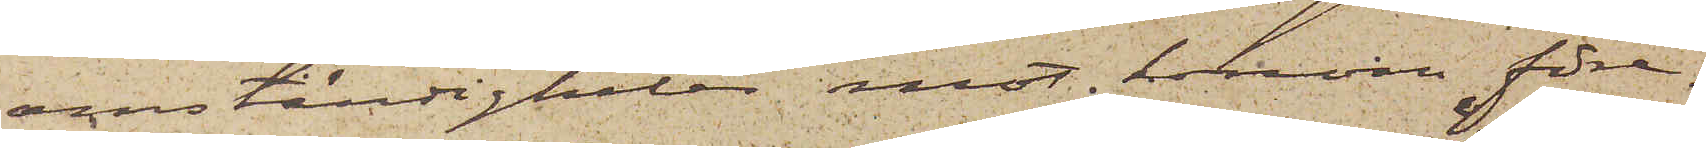omständigheter mot honom före¬
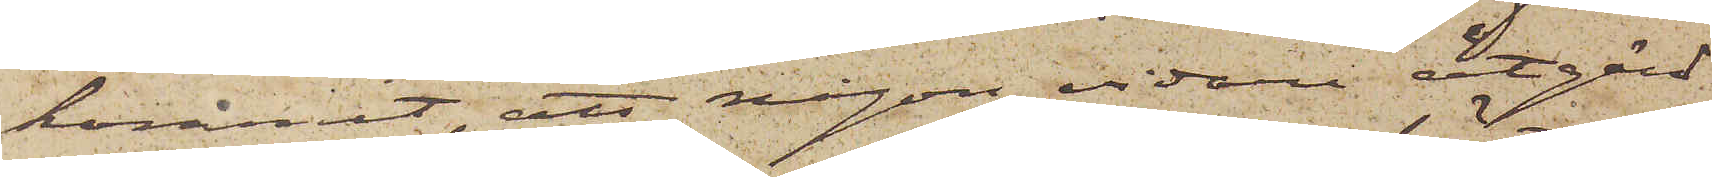kommit, att någon vidare åtgärd
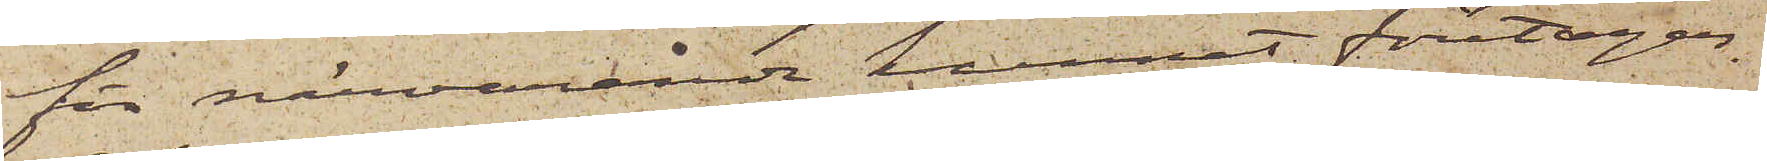för närvarande kunnat företagas.
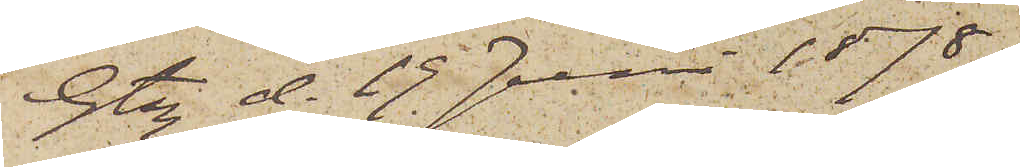Gtbg d. 19 Juni 1878.
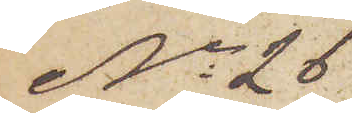No 26
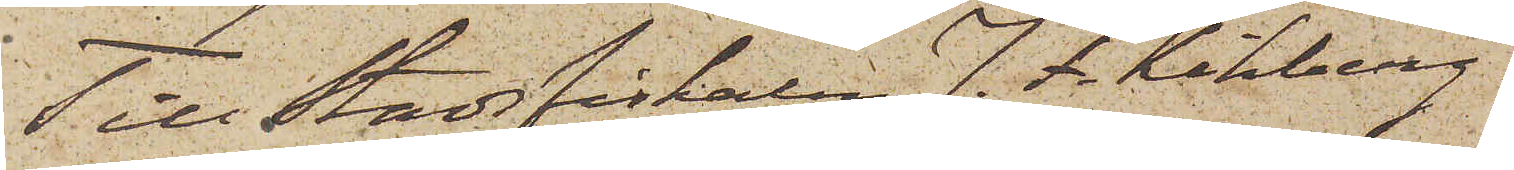Till Stadsfiskalen J. F. Kihlberg.
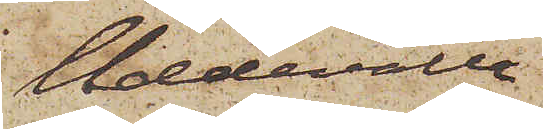Uddevalla
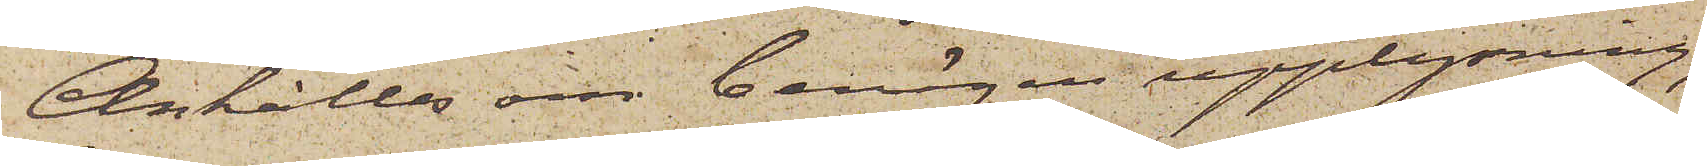Anhålles om benägen upplysning,
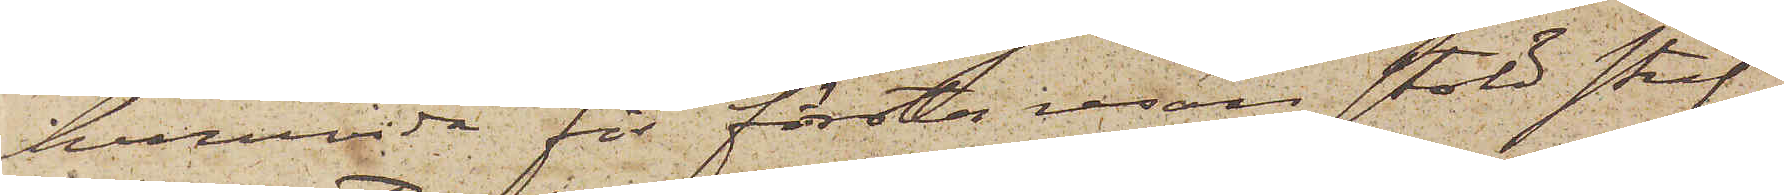huruvida för första resan stöld straf¬
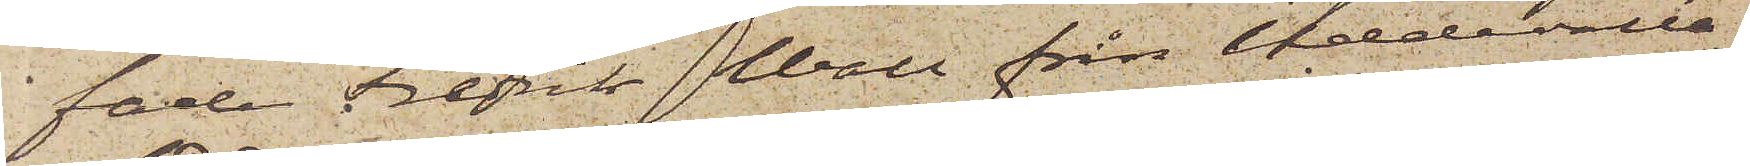fade Fredrik Wall från Uddevalla,
